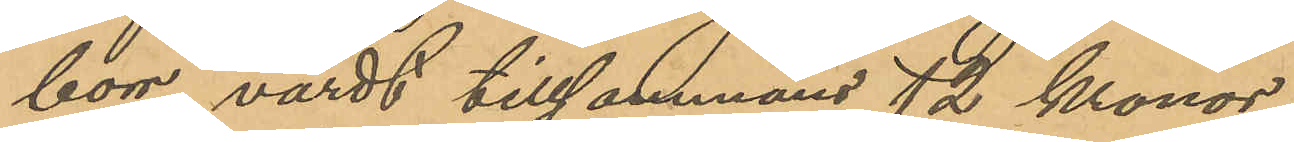borr, värdt tillsammans 12 kronor;
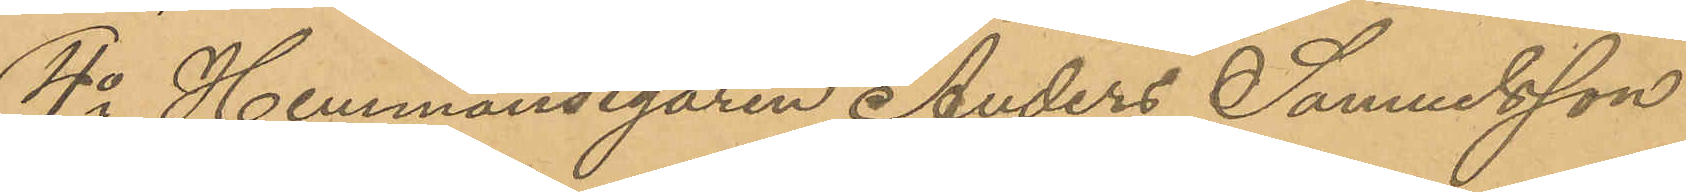4o Hemmansegaren Anders Samuelsson
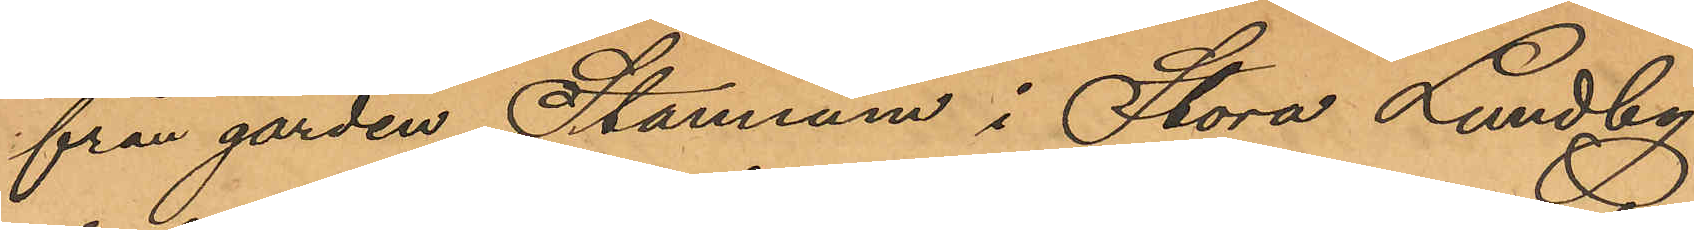från gården Stannum i Stora Lundby
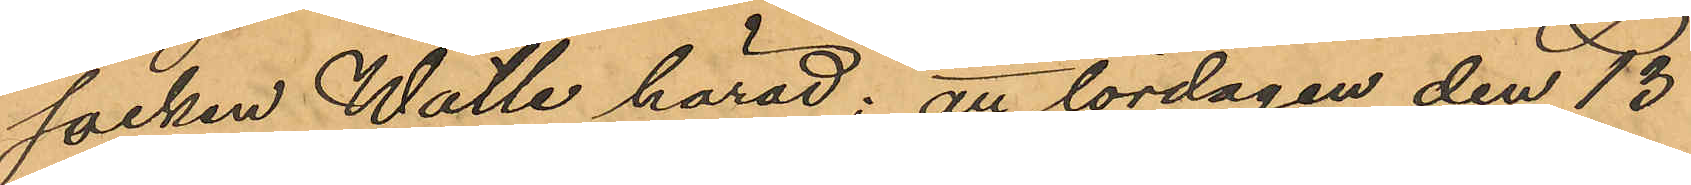socken Wälle härad; att lördagen den 13
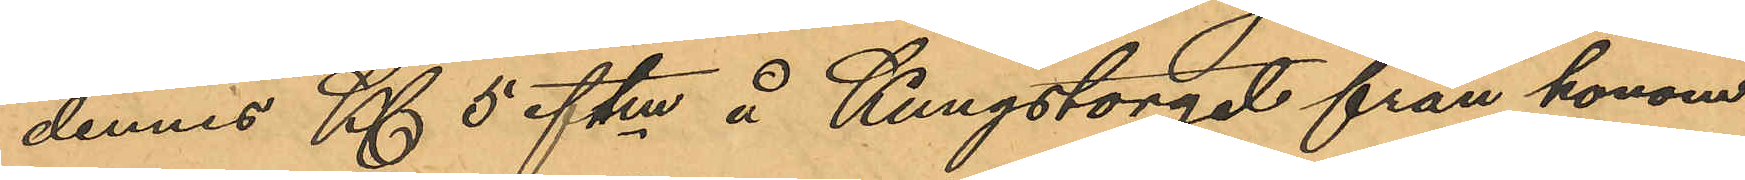dennes Kl 5 eftm å Kungstorget från honom
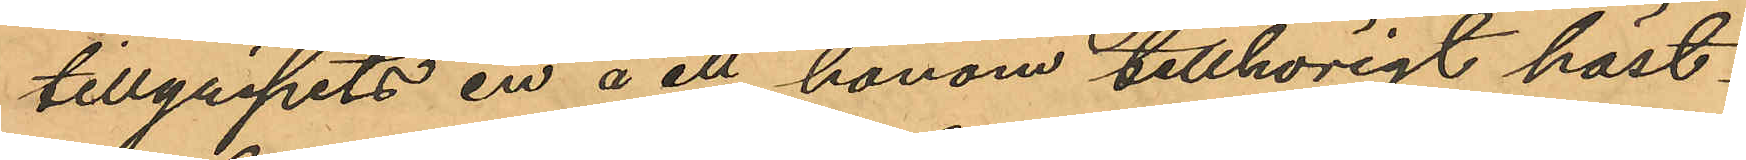tillgripits en å ett honom tillhörigt häst¬
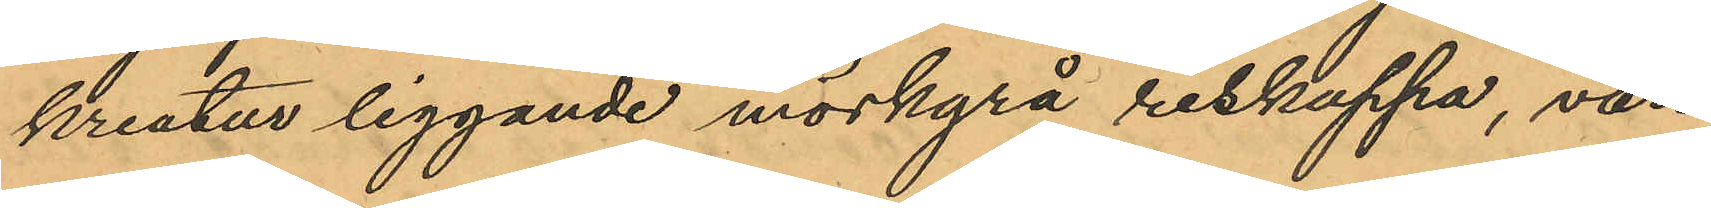kreatur liggande mörkgrå reskappa, värd
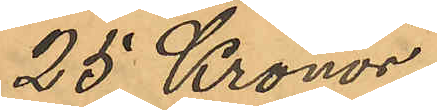25 Kronor;
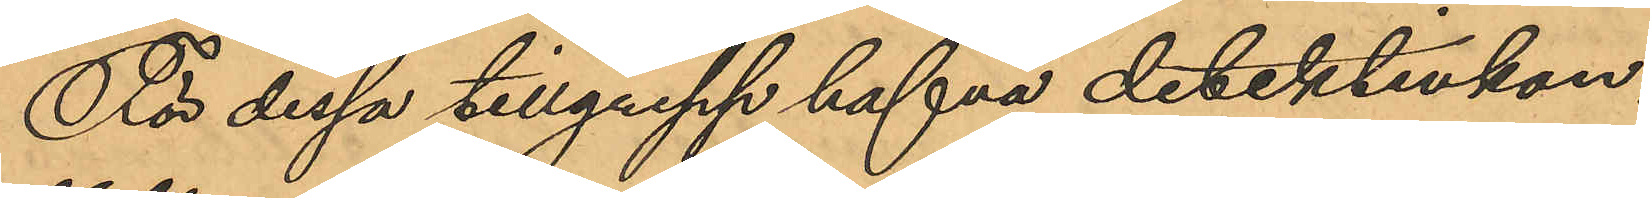För dessa tillgrepp hafva detektivkon¬
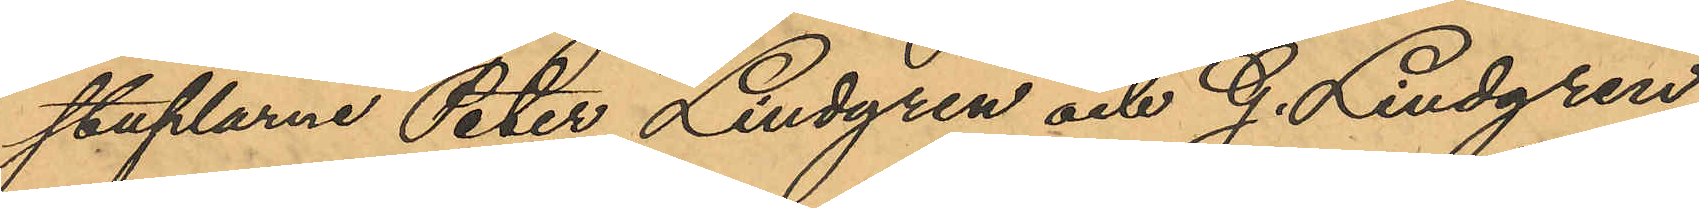staplarne Peter Lindgren och G. Lindgren,
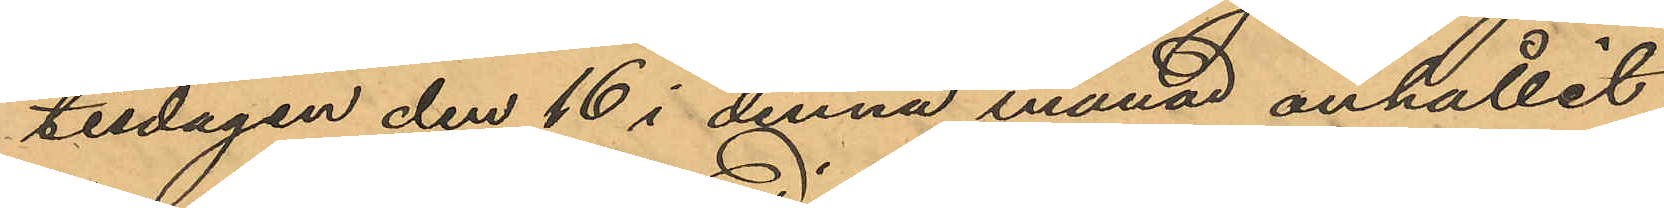tisdagen den 16 i denna månad anhållit
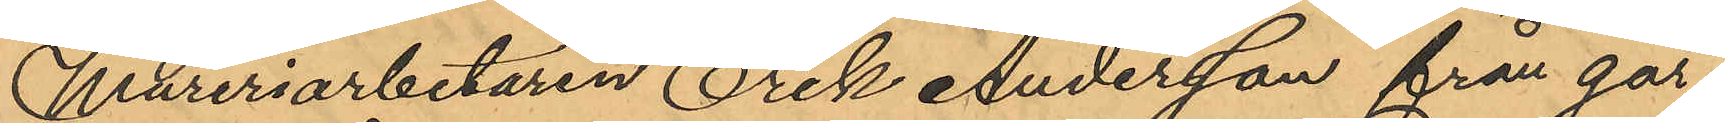Mureriarbetaren Erik Andersson från går¬
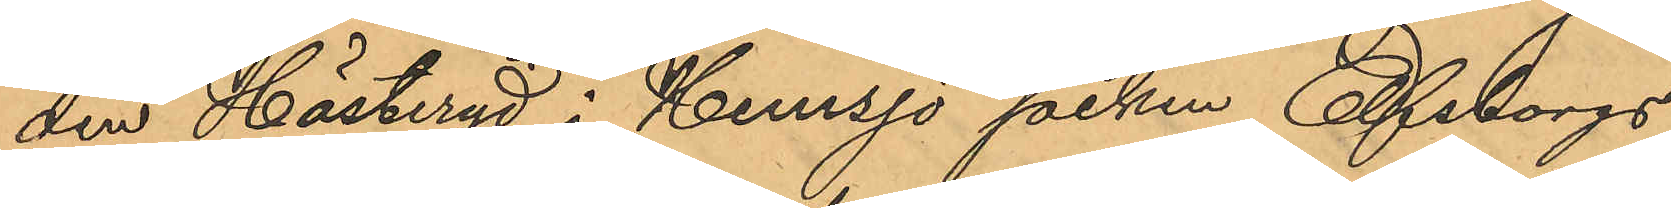den Hästeryd i Hemsjö socken Elfsborgs
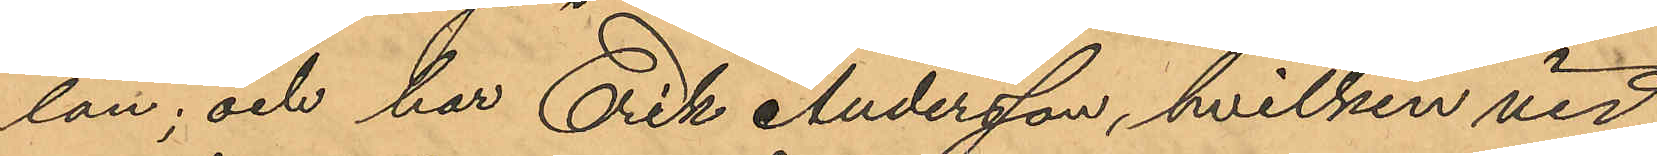län; och har Erik Andersson, hvilken vid
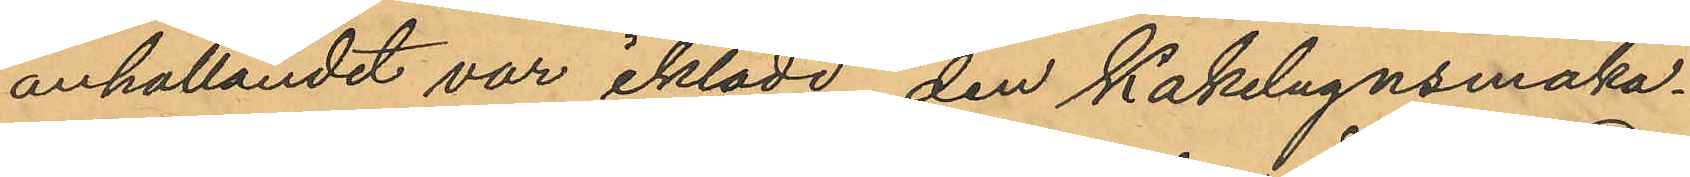anhållandet var iklädd den Kakelugnsmaka¬
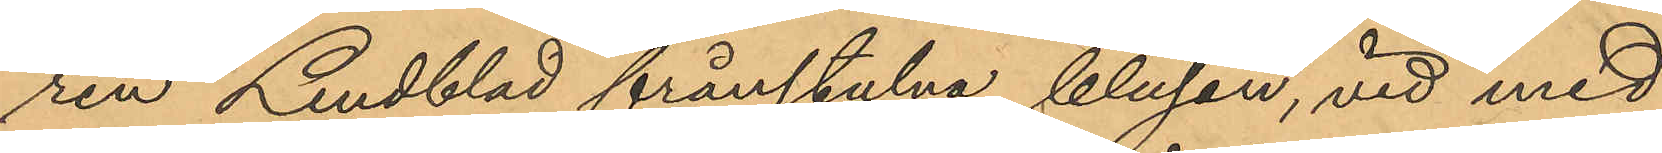ren Lindblad frånstulna blusen, vid med
